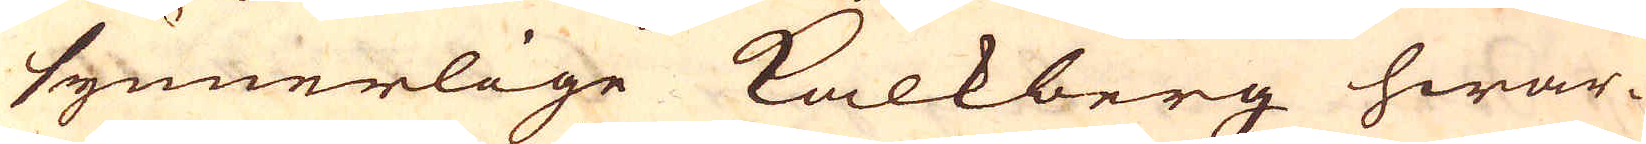synnerlige Kalkberg hwar-
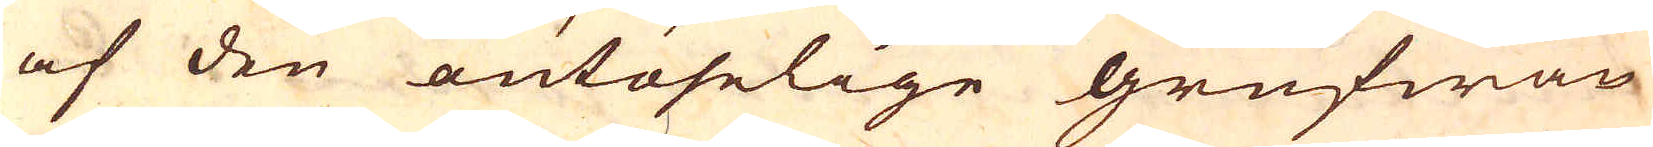af den outöselige grufwan
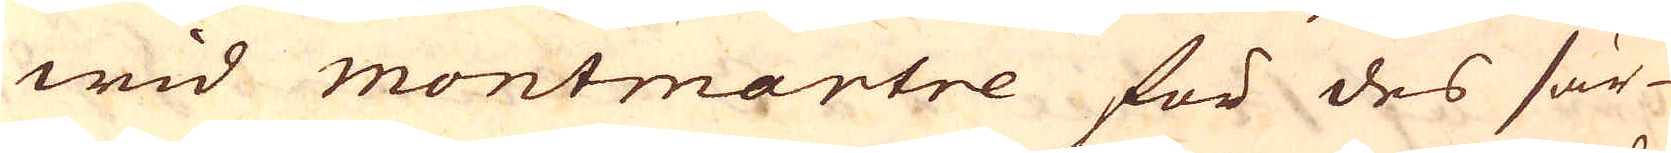wid montmartre för des sär-
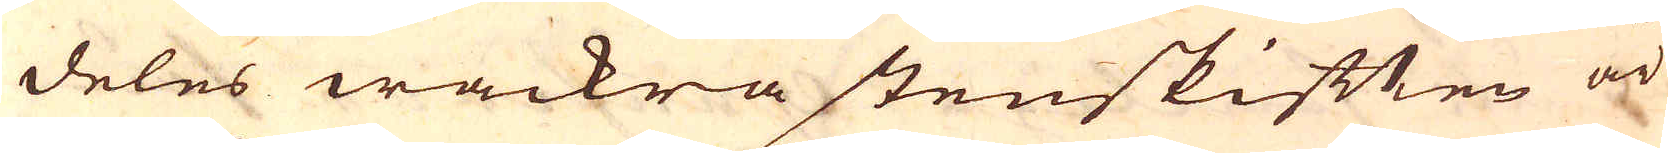deles wackra stenskifften är
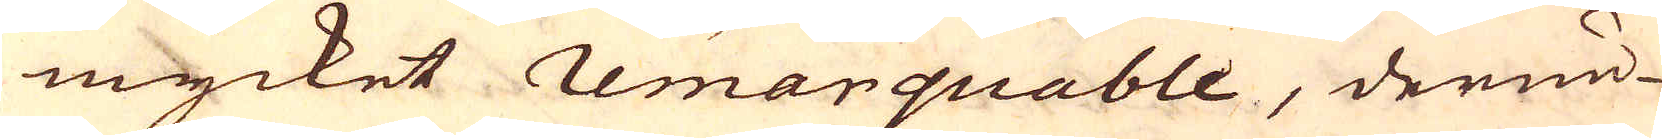mycket remarquable, derun-
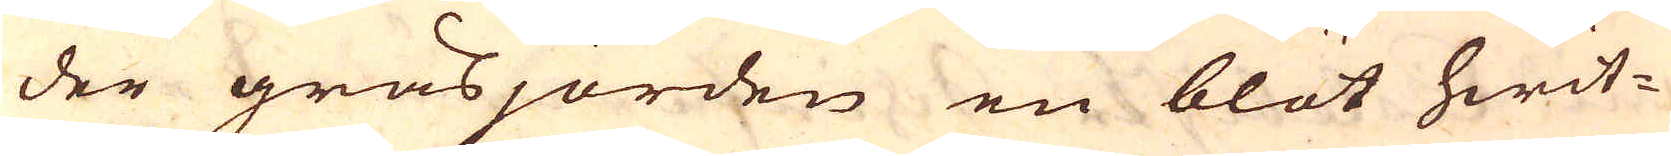der gräsjorden en blöt hwit-
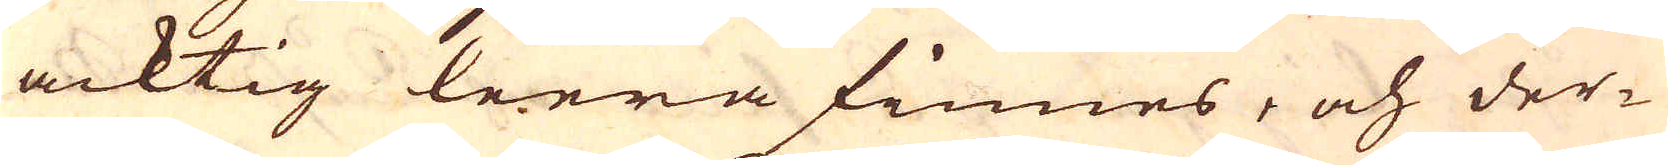acktig leera finnes, och der-
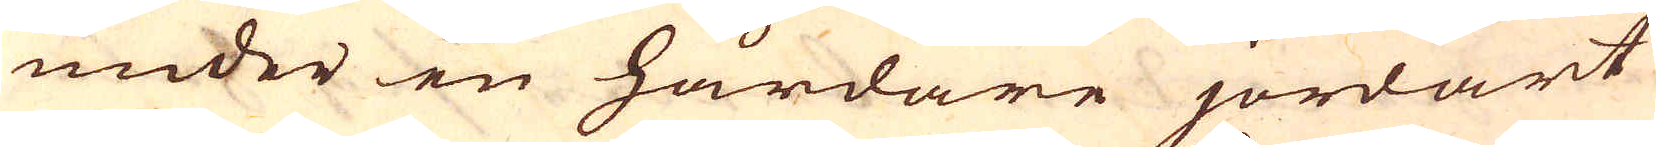under en hårdare jordart
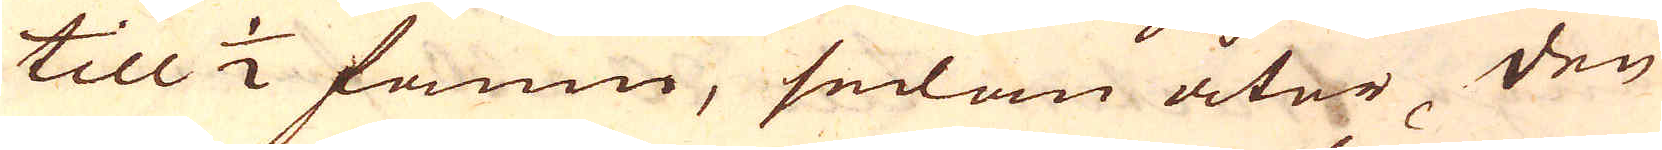till 1/2 famn, sedan åter den
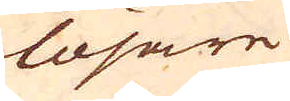lösare
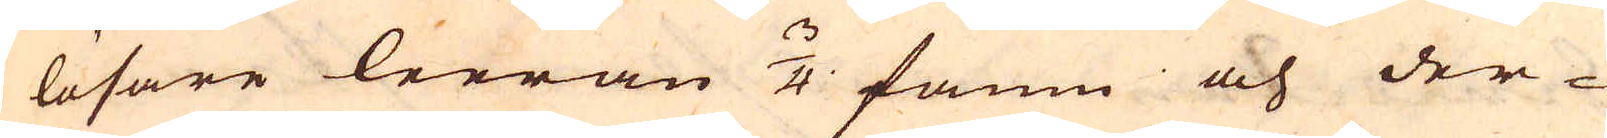lösare leeran 3/4 famn och der-
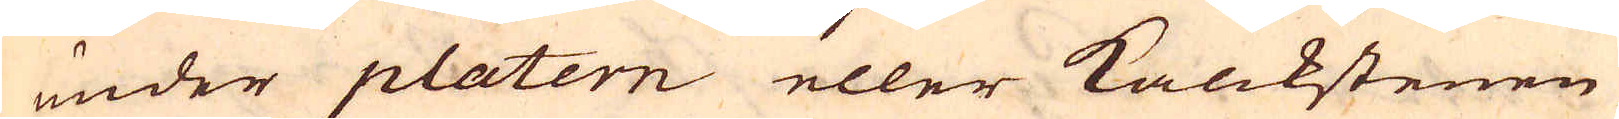under platern eller Kalckstenen
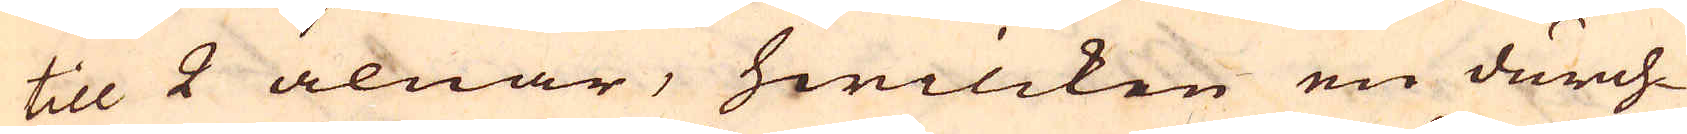till 2 alnar, hwilcken en durch-
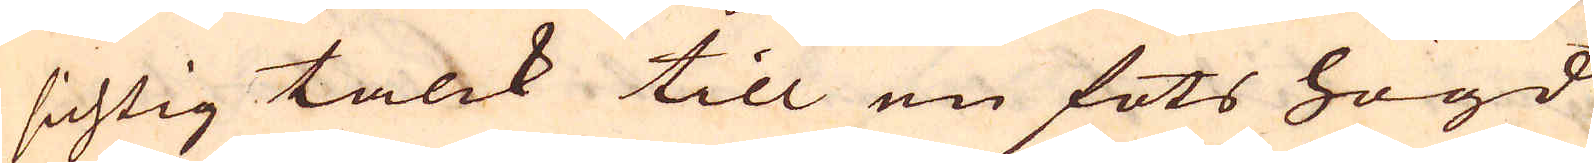sichtig talck till en fots högd
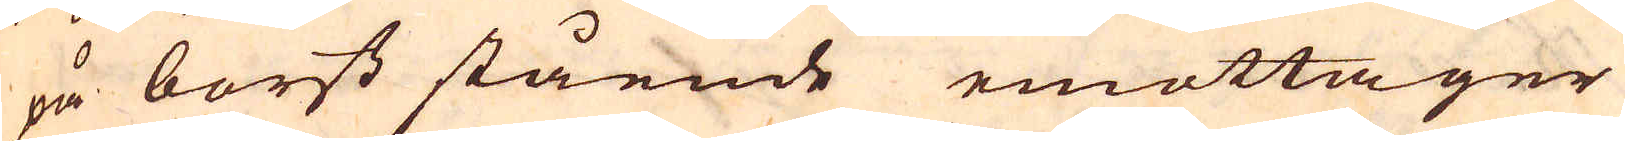på borst stående emottager
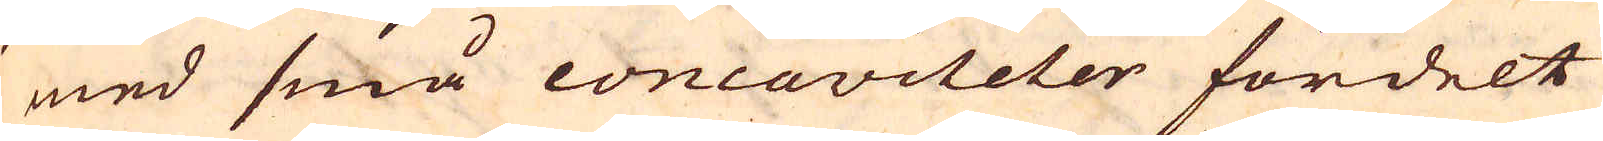med små concaviteter fördelt
